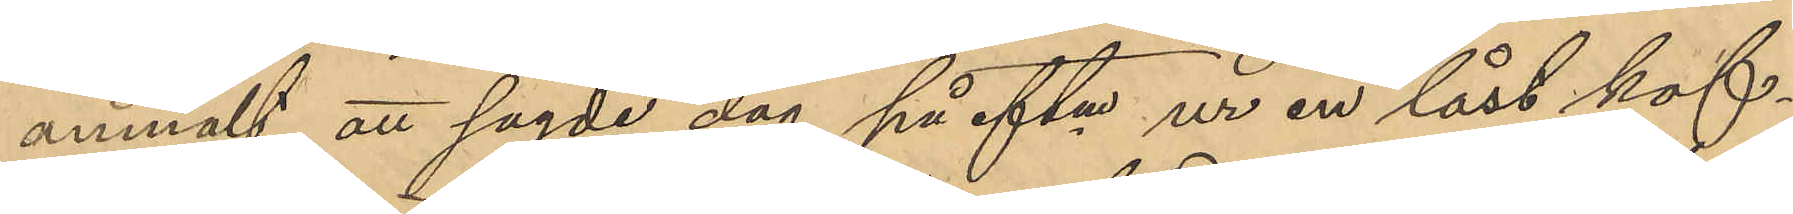anmält att sagde dag på eftm ur en låst kof¬
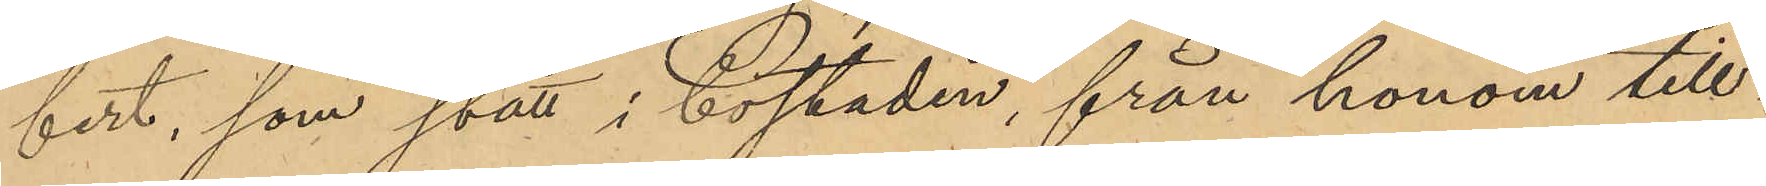fert, som stått i bostaden, från honom till¬
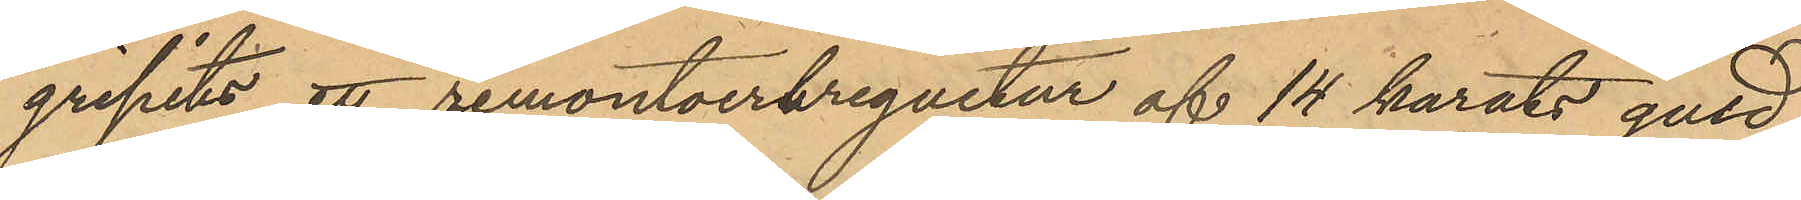gripits ett remontoerbreguetur af 14 karats guld,
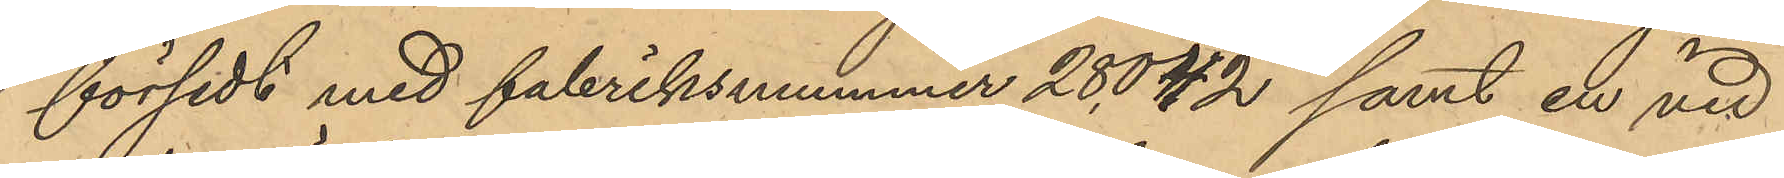försedt med fabriksnummer 28042 samt en vid
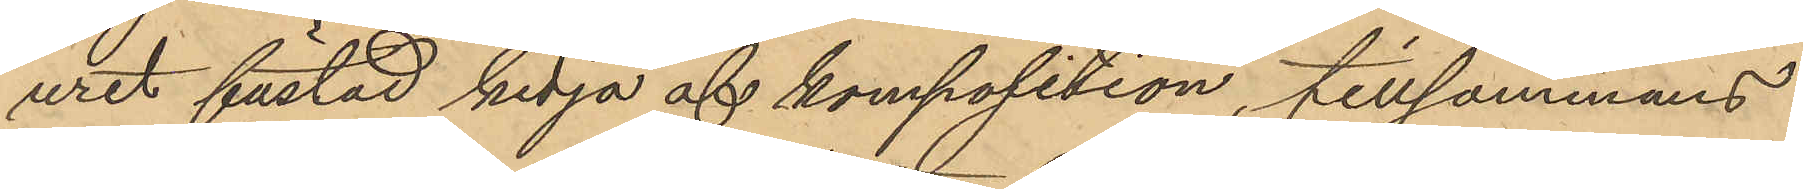uret fästad kedja af komposition, tillsammans
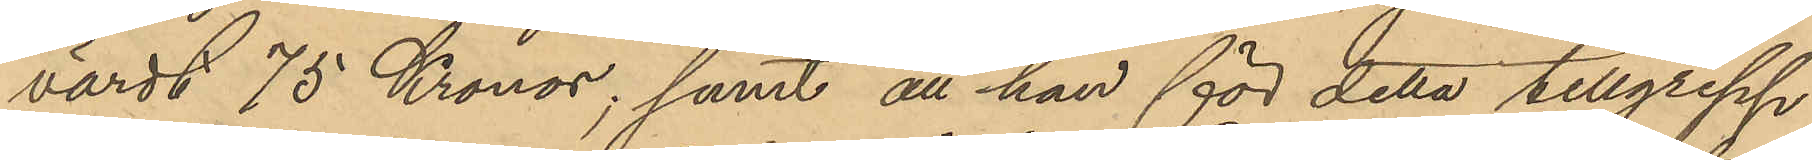värdt 75 Kronor; samt att han för detta tillgrepp
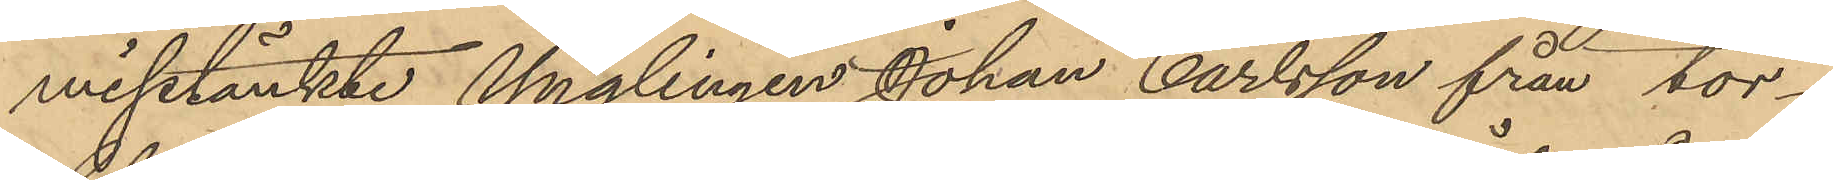misstänkte Ynglingen Johan Carlsson från tor¬
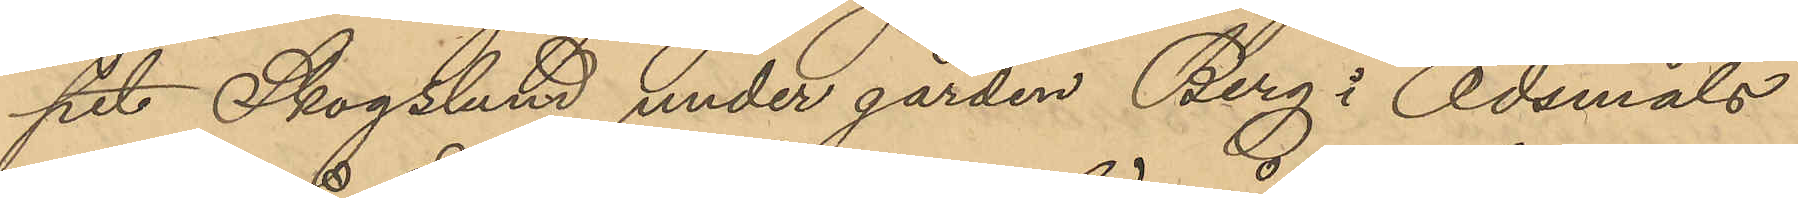pet Skogslund under gården Berg i Ödsmåls
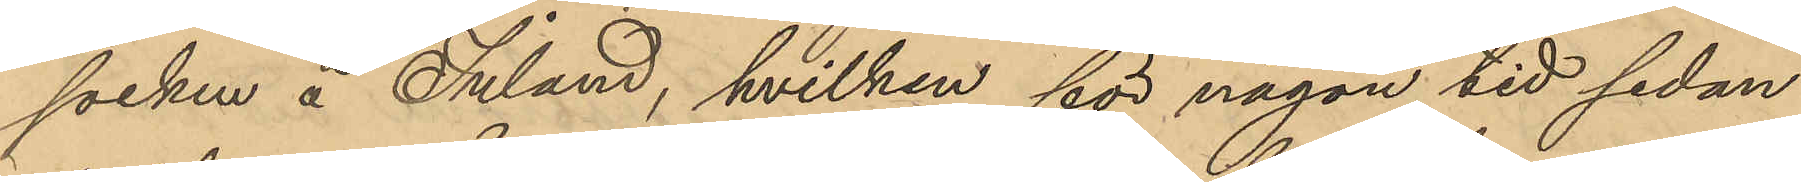socken å Inland, hvilken för någon tid sedan
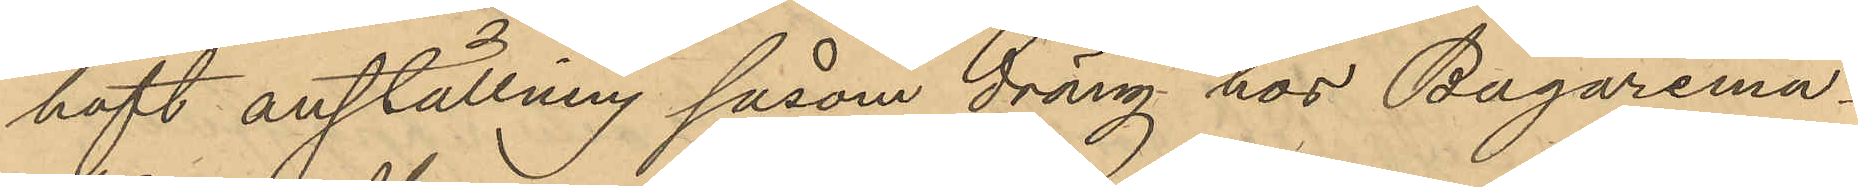haft anställning såsom dräng hos Bagaremä¬
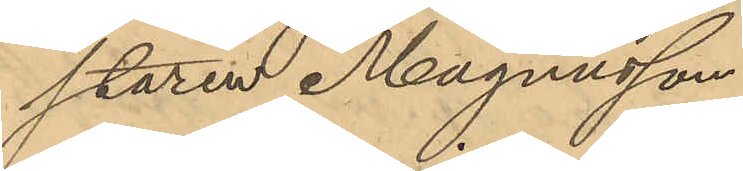staren Magnusson.
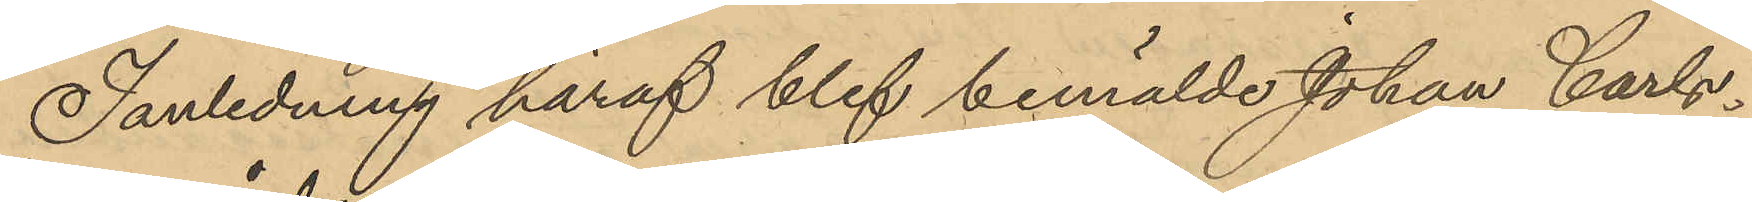I anledning häraf blef bemälde Johan Carls¬
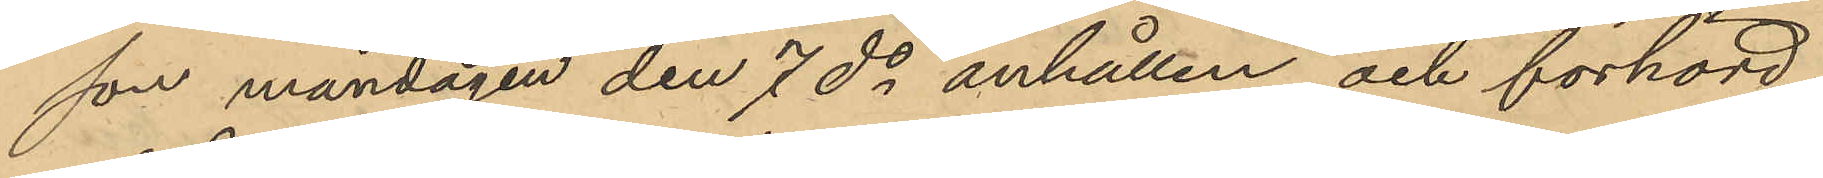son måndagen den 7 ds anhållen och förhörd
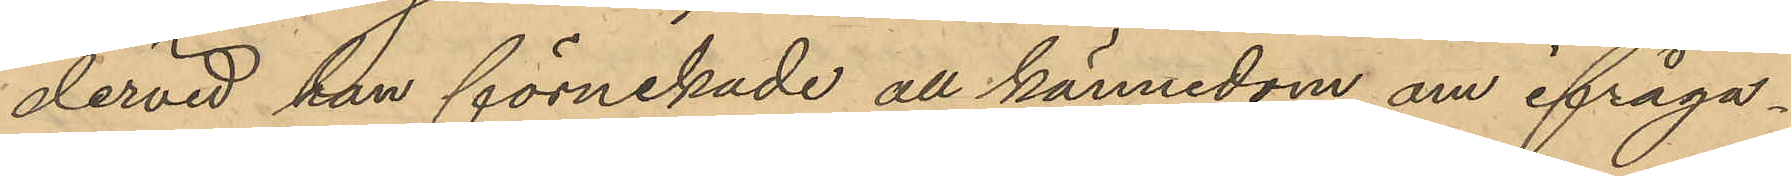dervid han förnekade all kännedom om ifråga¬
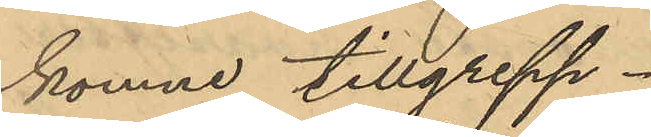komne tillgrepp.
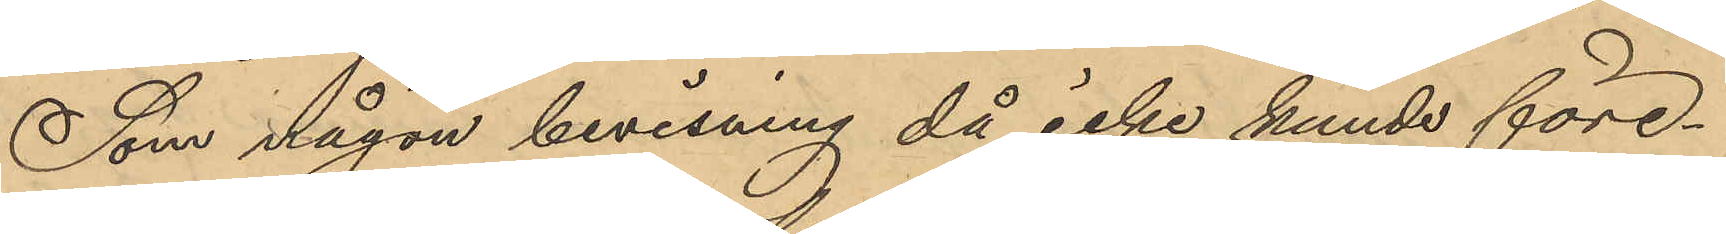Som någon bevisning då icke kunde före¬
